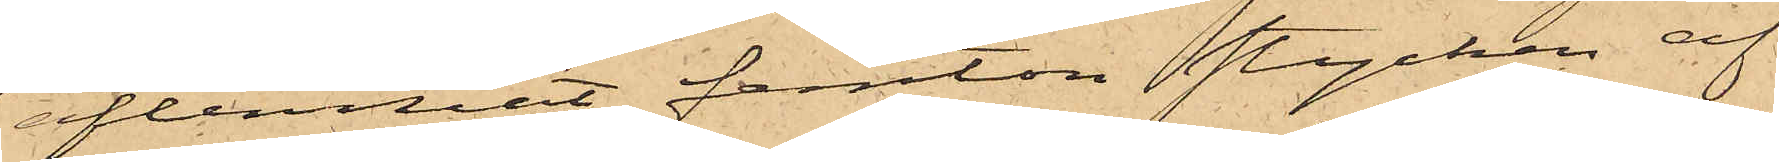aflemnat femton stycken af
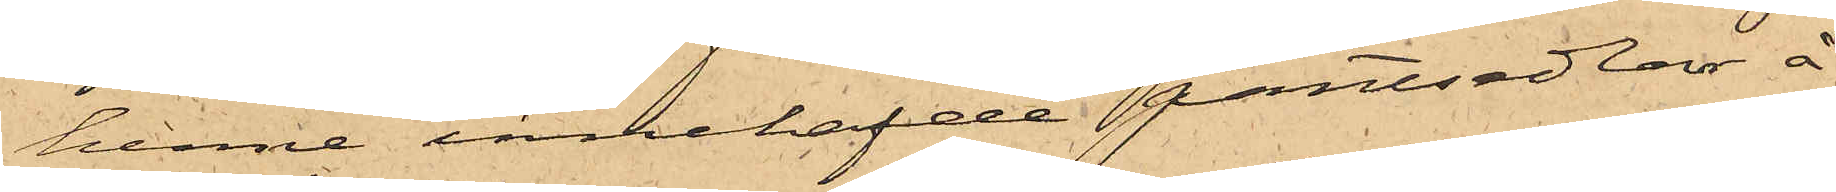henne innehafde pantsedlar å
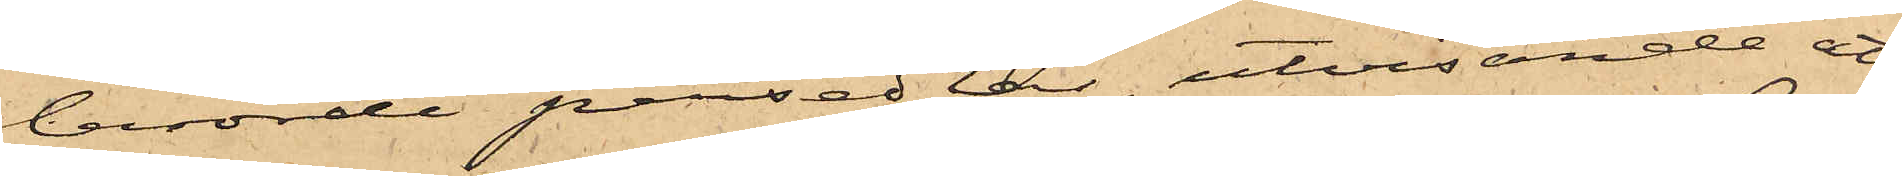berörde persedlar, utvisande att
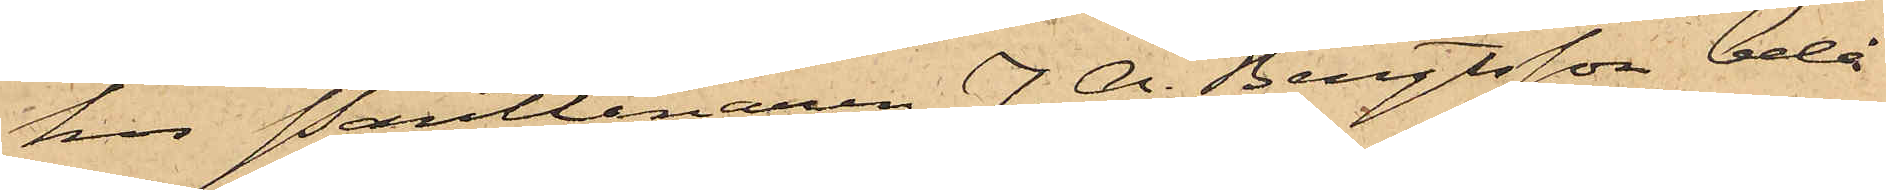hos Pantlånaren J. A. Bengtsson belå¬
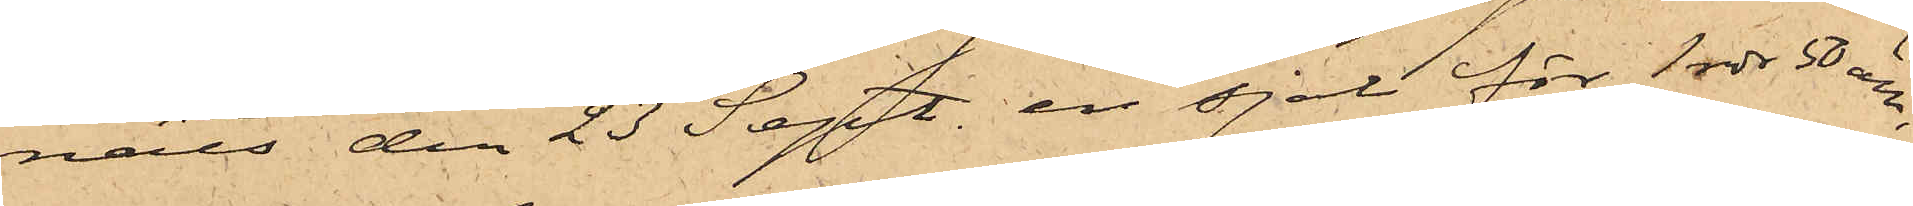nats den 23 Sept. en sjal för 1 rdr 50 öre,
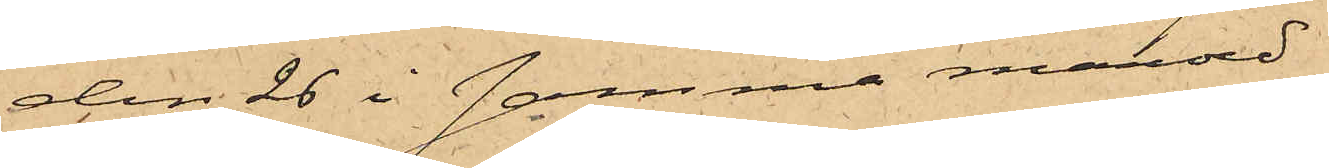den 26 i samma månad
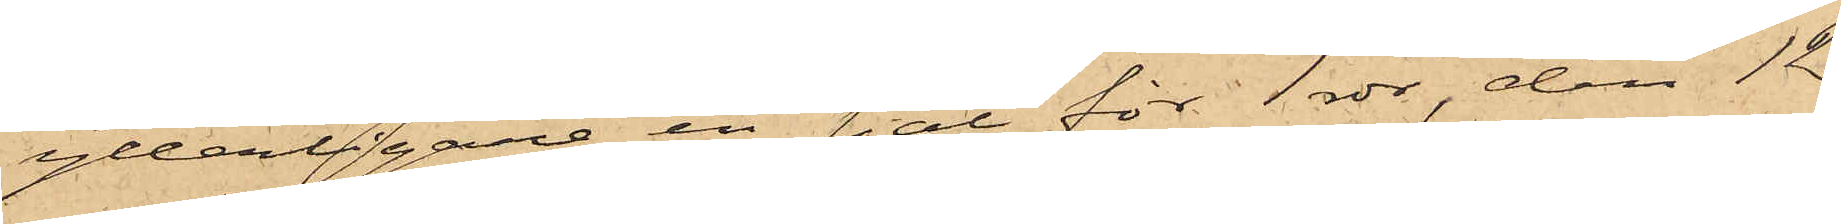ytterligare en sjal för 1 rdr, den 12
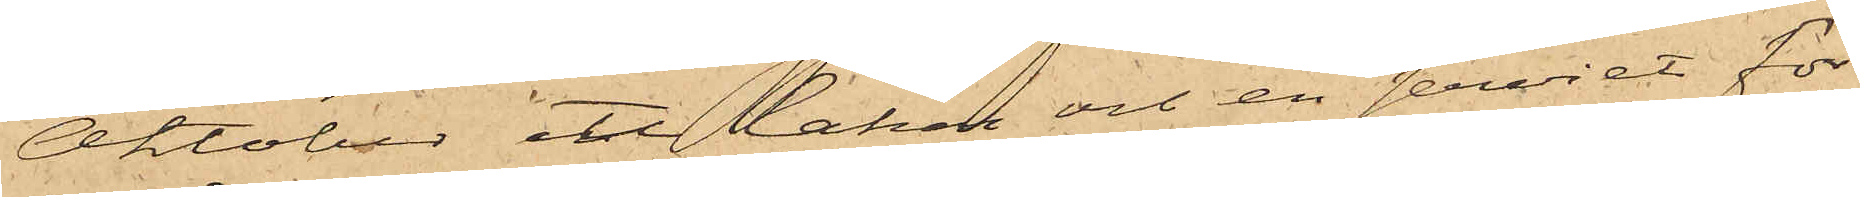Oktober ett lakan och en serviet för
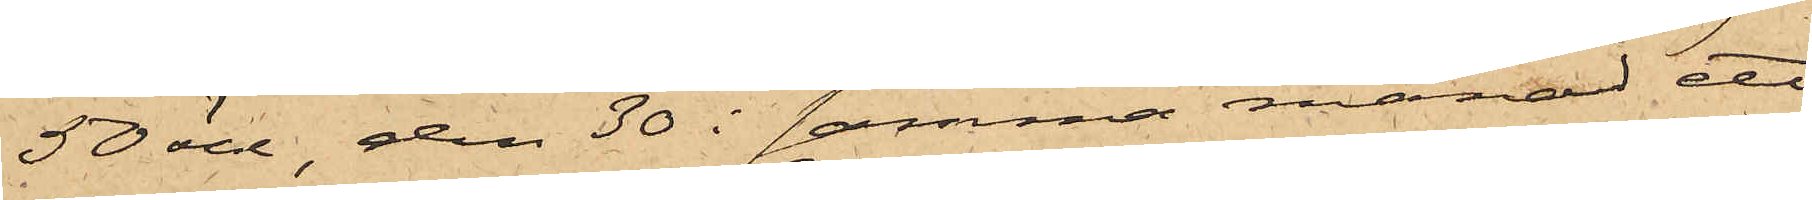50 öre, den 30 i samma månad ett
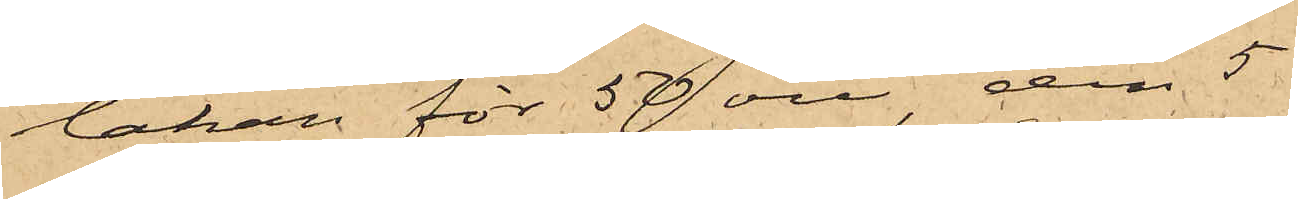lakan för 50 öre, den 5
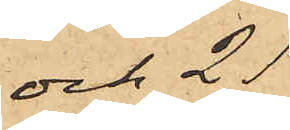och 21
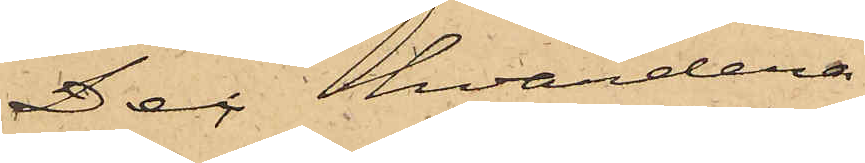Dec, hvardera
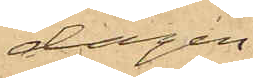dagen
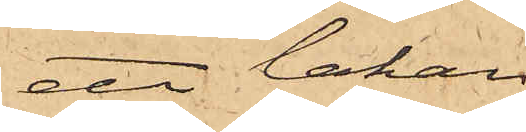ett lakan
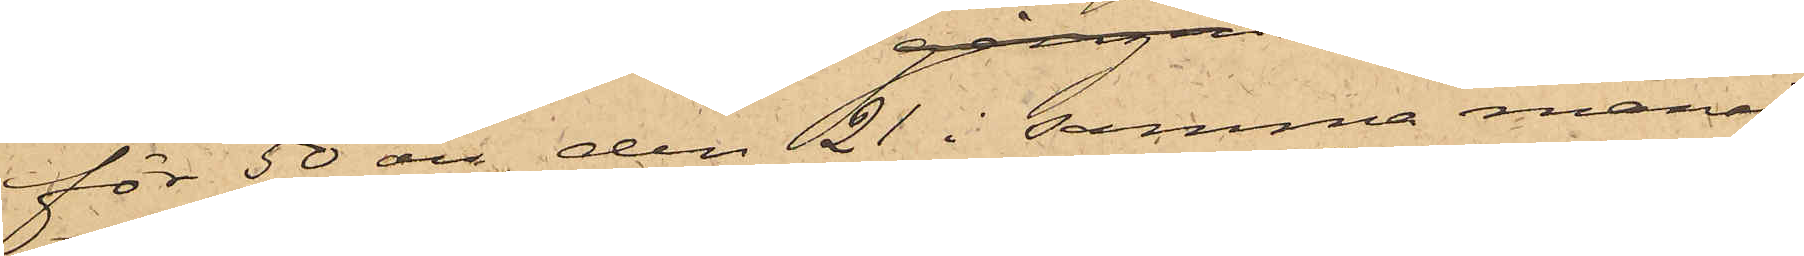för 50 öre, den 21 i samma månad
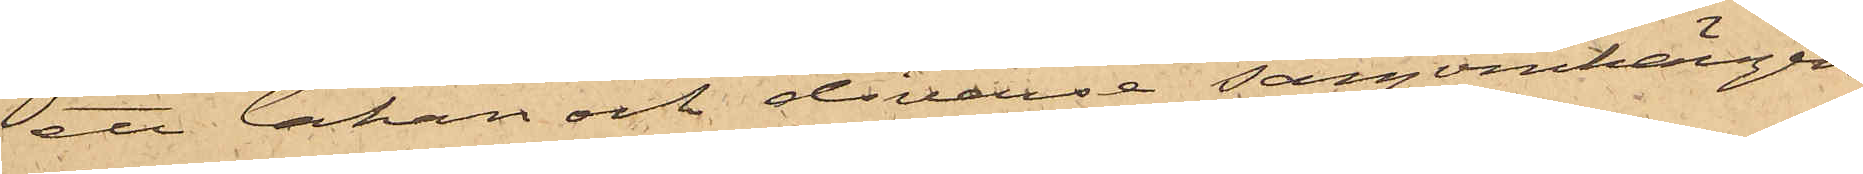ett lakan och diverse sängomhängen
